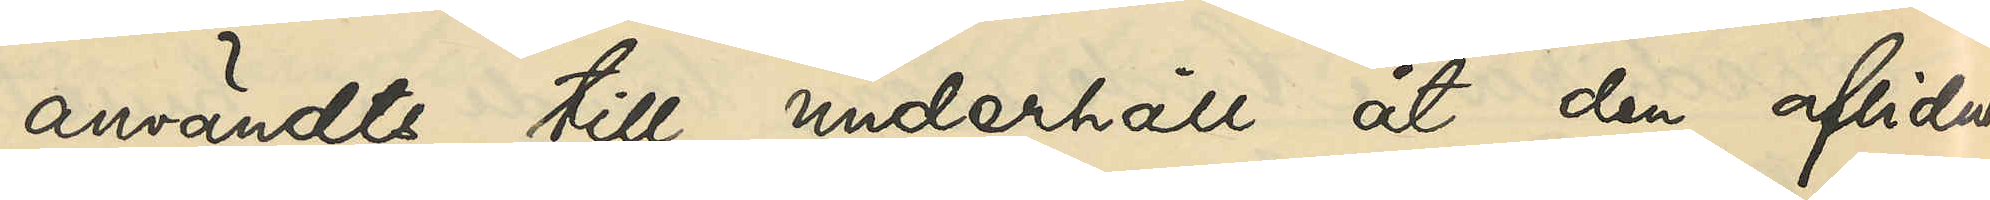användts till underhåll åt den aflidnas
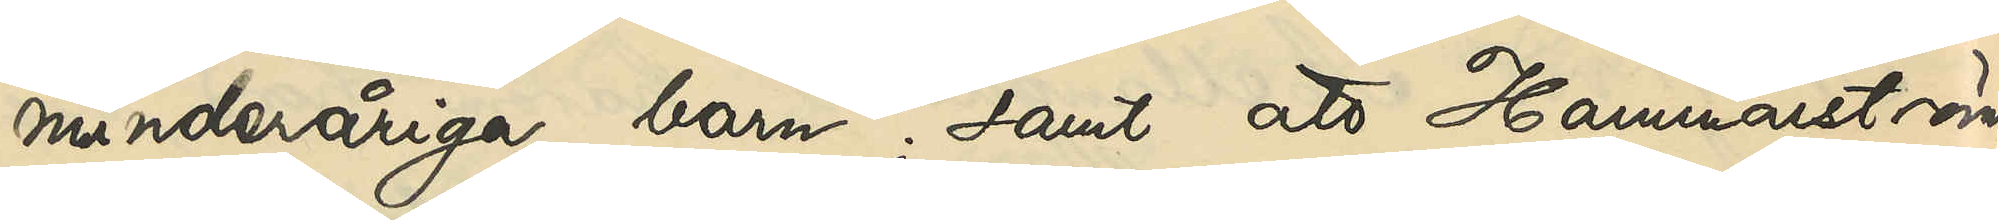minderåriga barn; samt att Hammarström
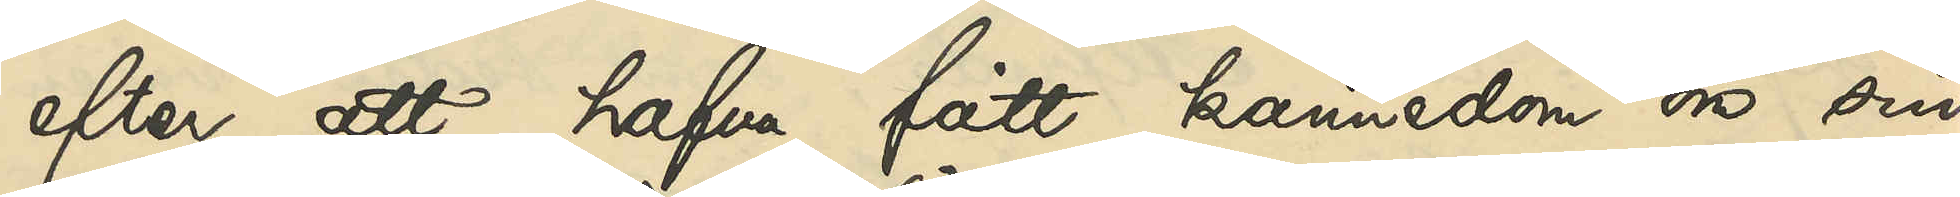efter att hafva fåt kännedom om sin
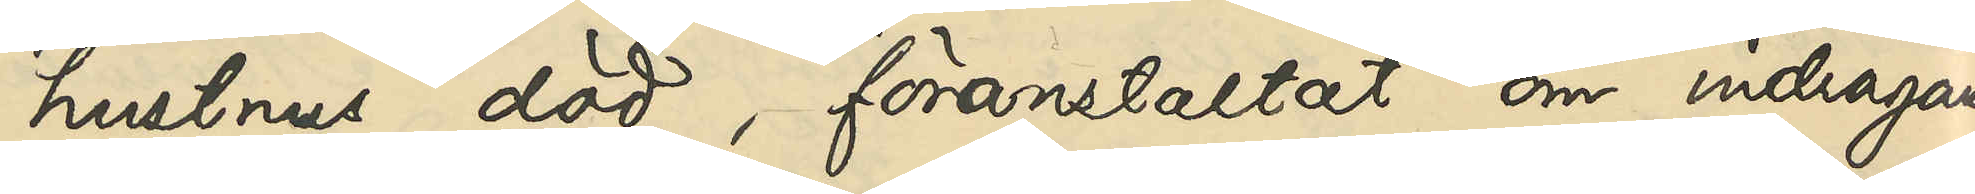hustrus död, föranstaltat om indragande
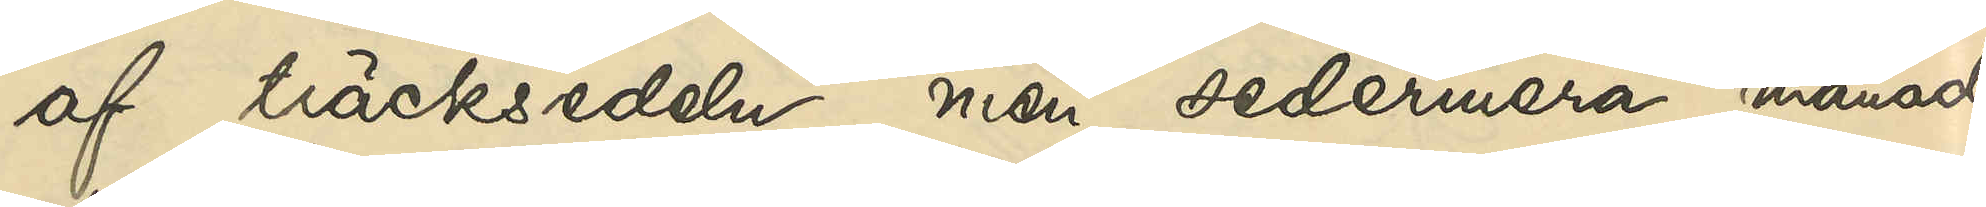af träcksedeln, men sedermera månadt¬
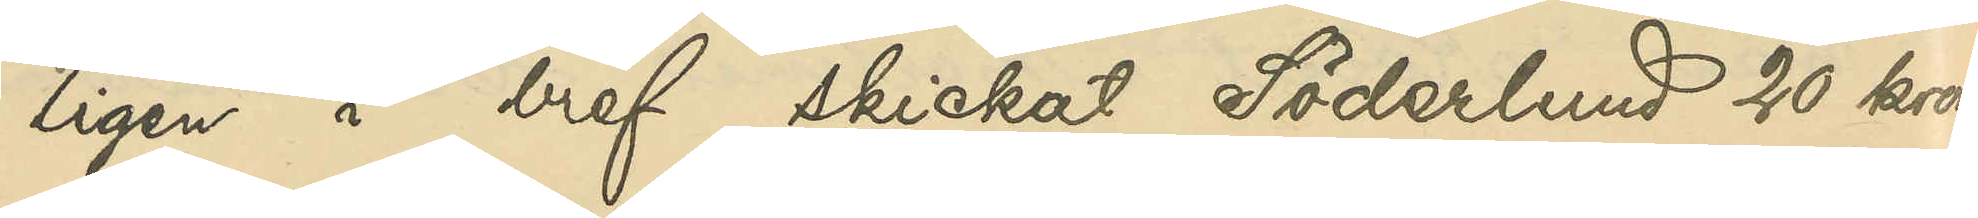ligen i bref skickat Söderlund 20 kronor
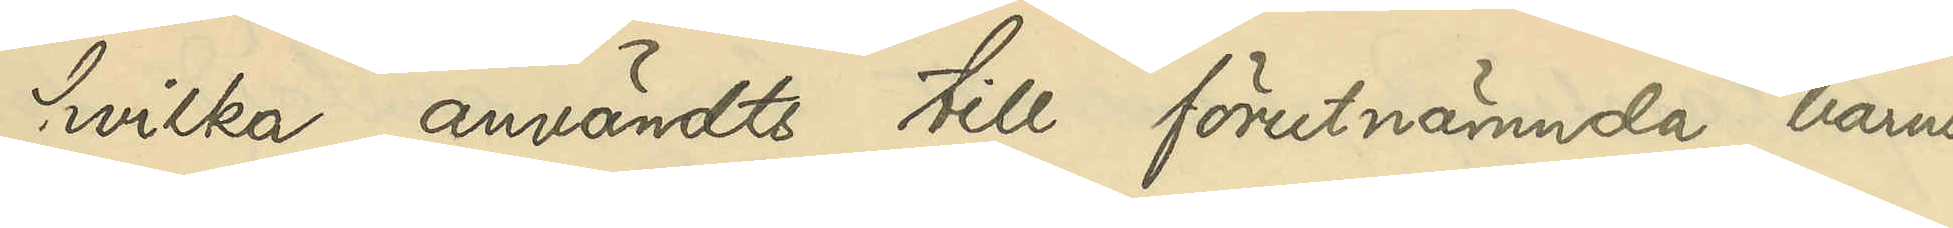hvilka användts till förutnämnda barns
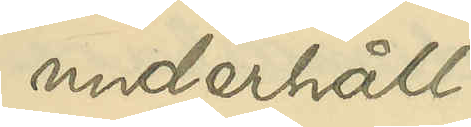underhåll.
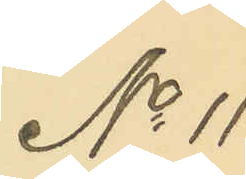No 11
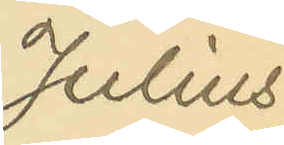Julius
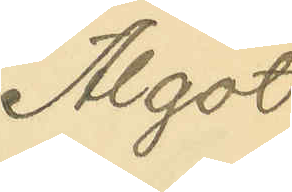Algot
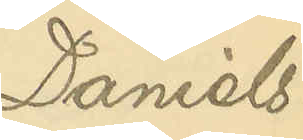Daniels¬
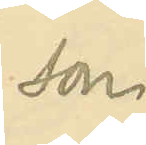son.
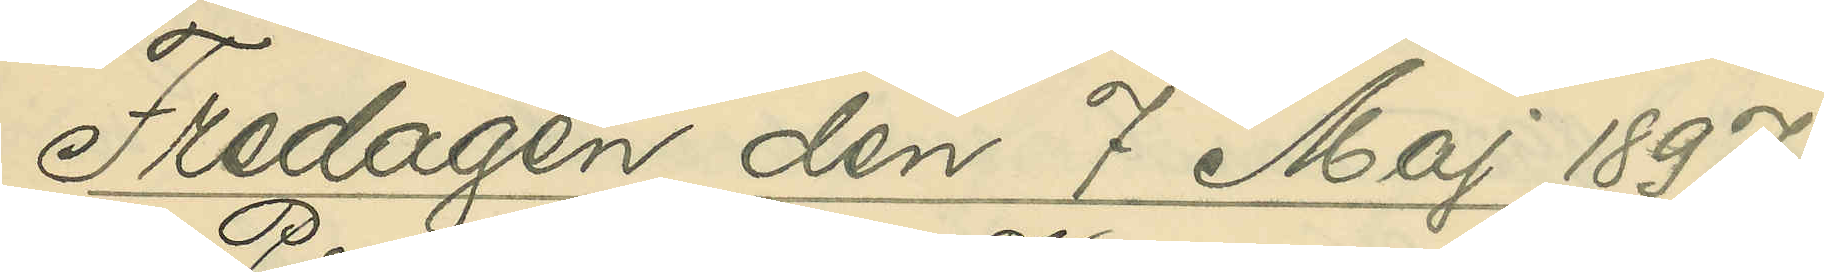Fredagen den 7 Maj 1897.
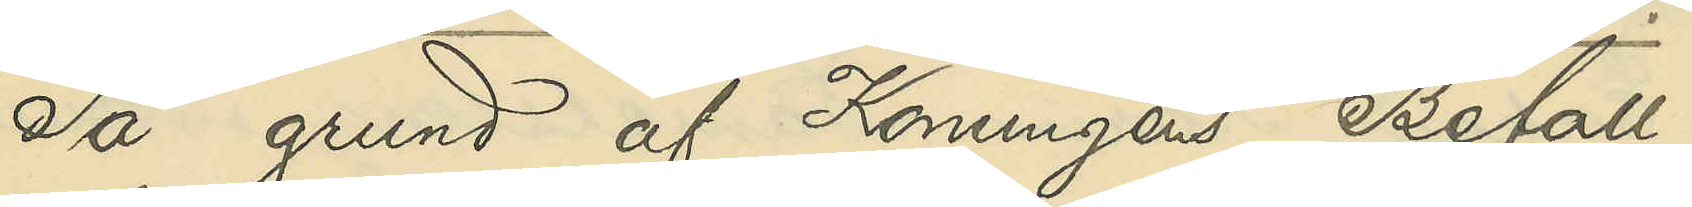På grund af Konungens Befall¬
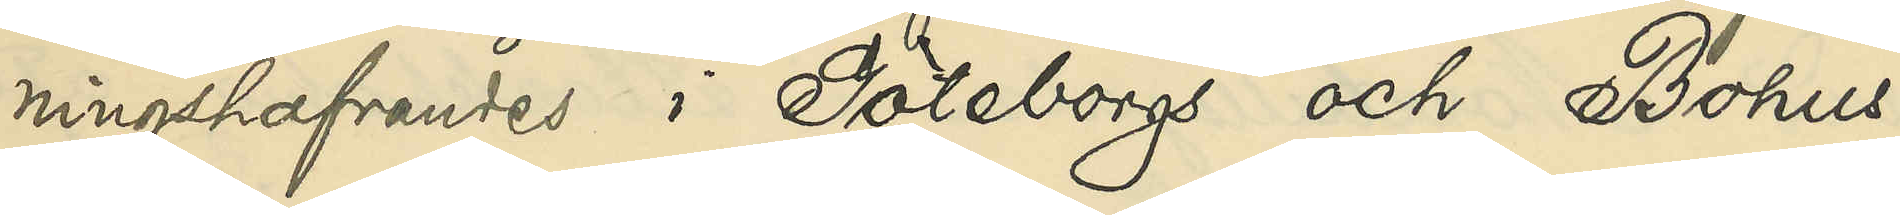ningshafvandes i Göteborgs och Bohus
